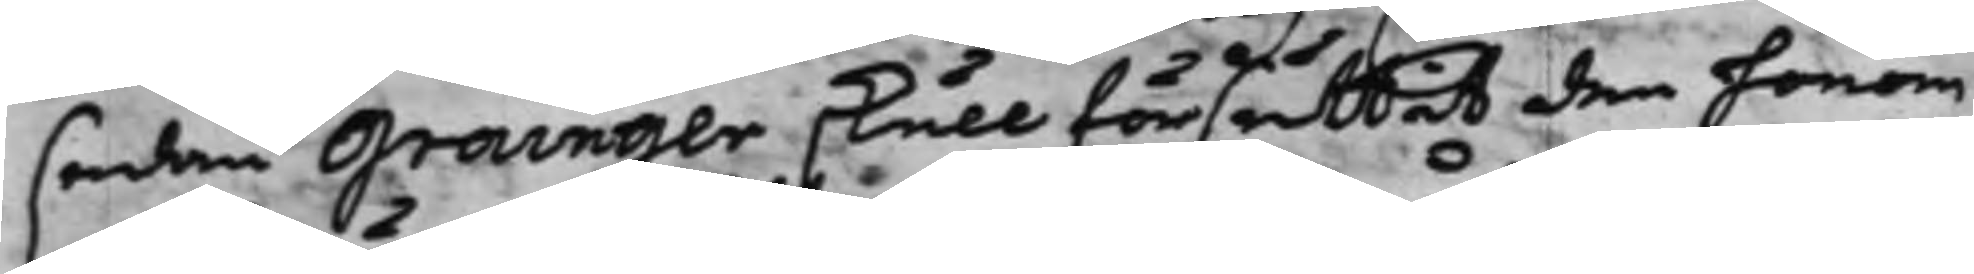sedan Grainger, skull försuttit den honom
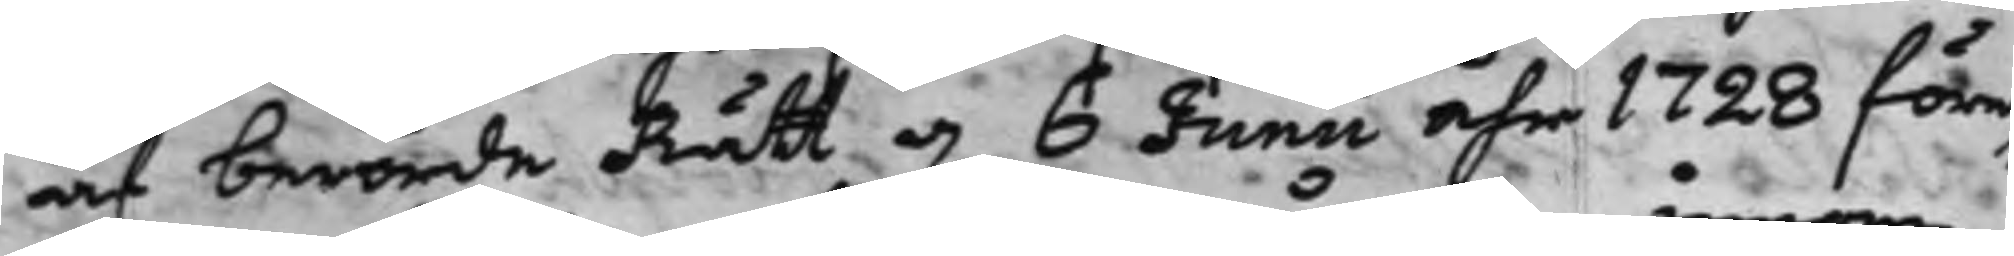af berörde Rätt d. 6 Junii åhr 1728 före¬
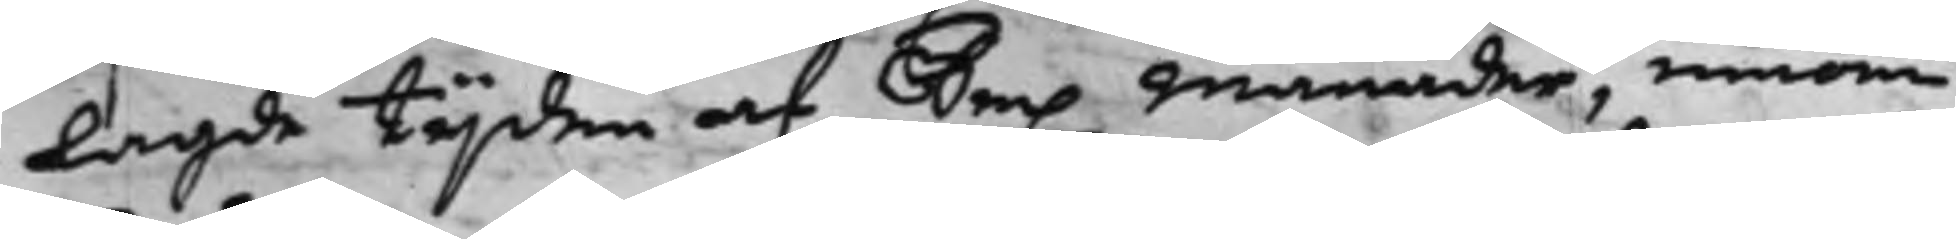lagde tijden af Sex Månader, innom
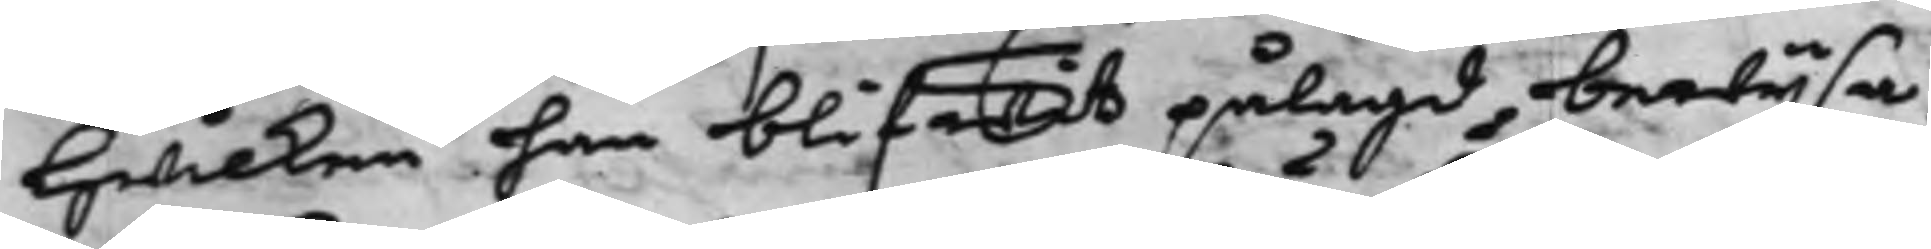hwilken han blifwit pålagd, bewijsa,
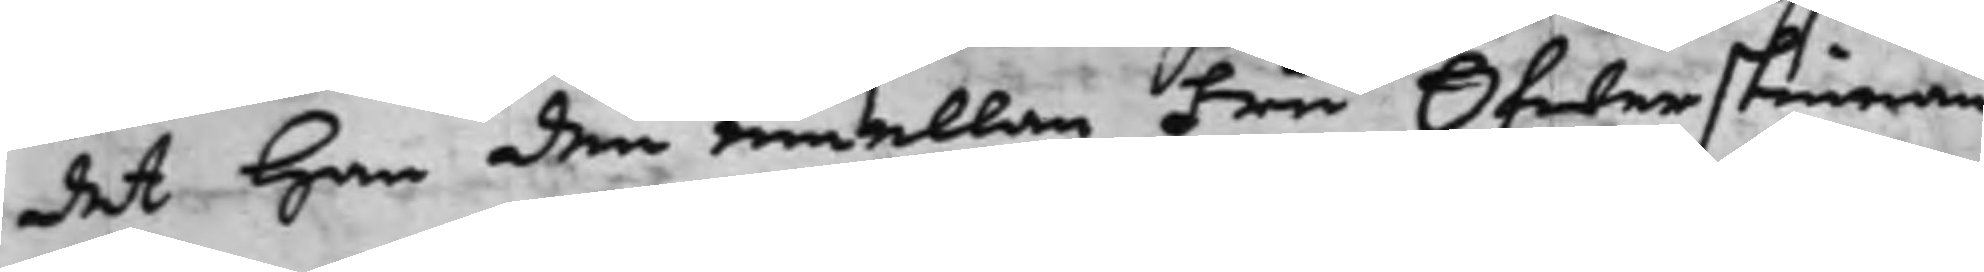det han den emellan Fru Öfwerstinnan
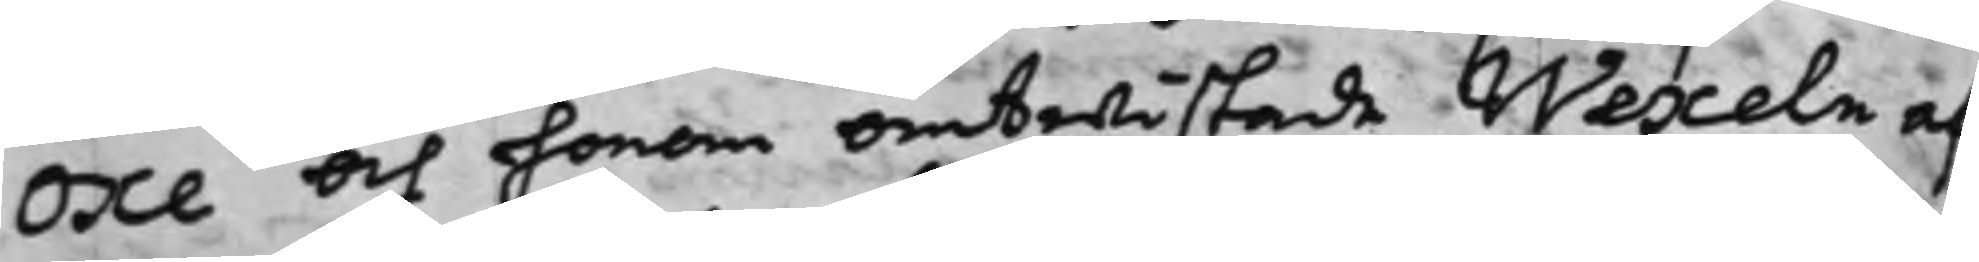Oxe och honom omtwistade Wexeln af
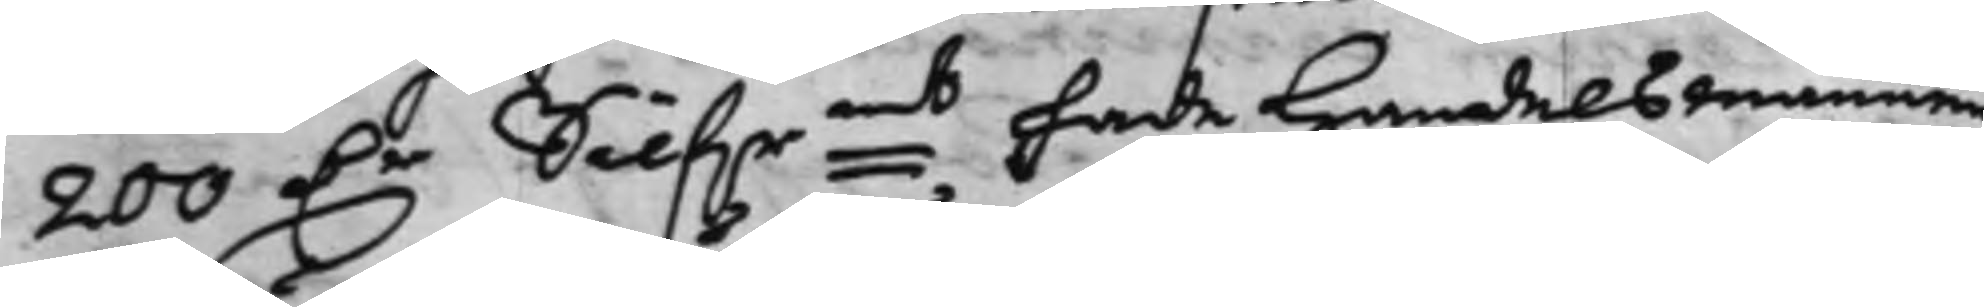200 D.r Silf.rmt hade Handelsmannen
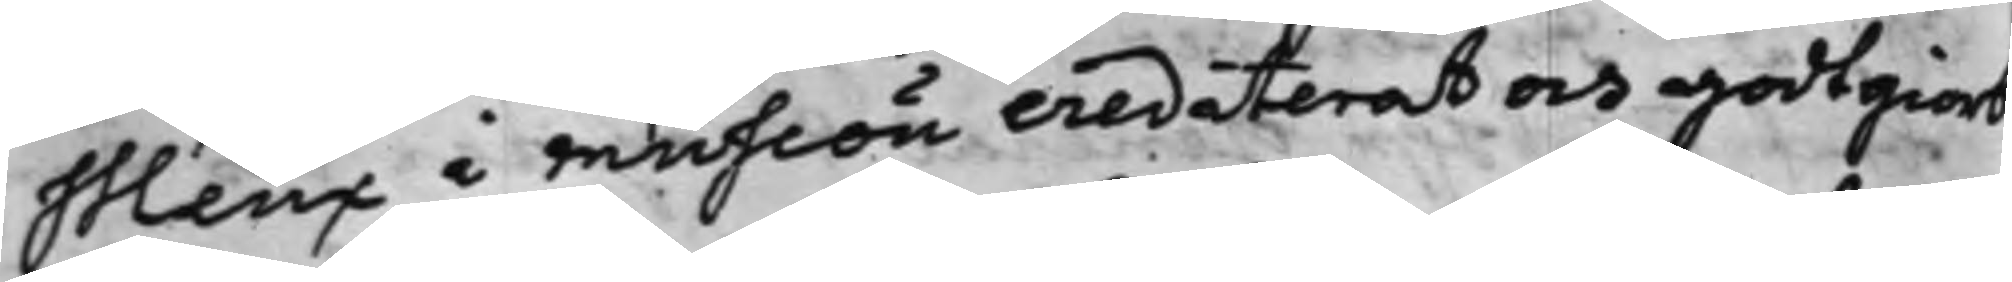Meux i muhlön credeterat och godtgiort
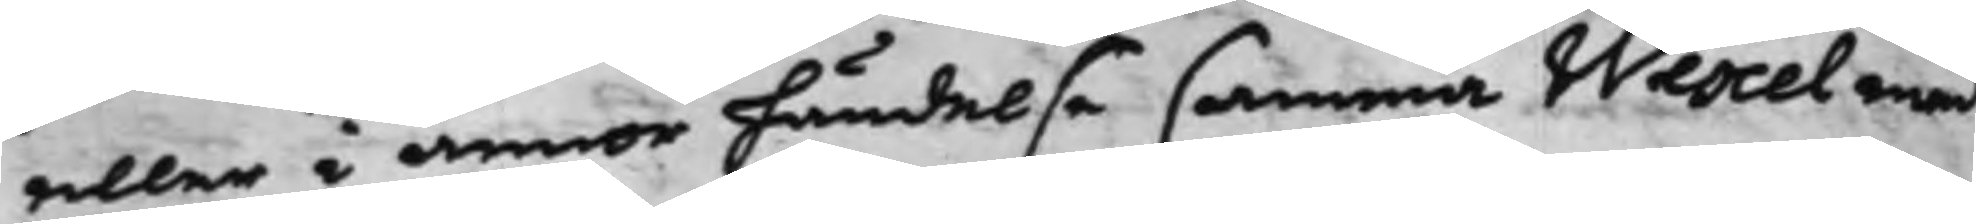eller i annor händelse samma Wexel med
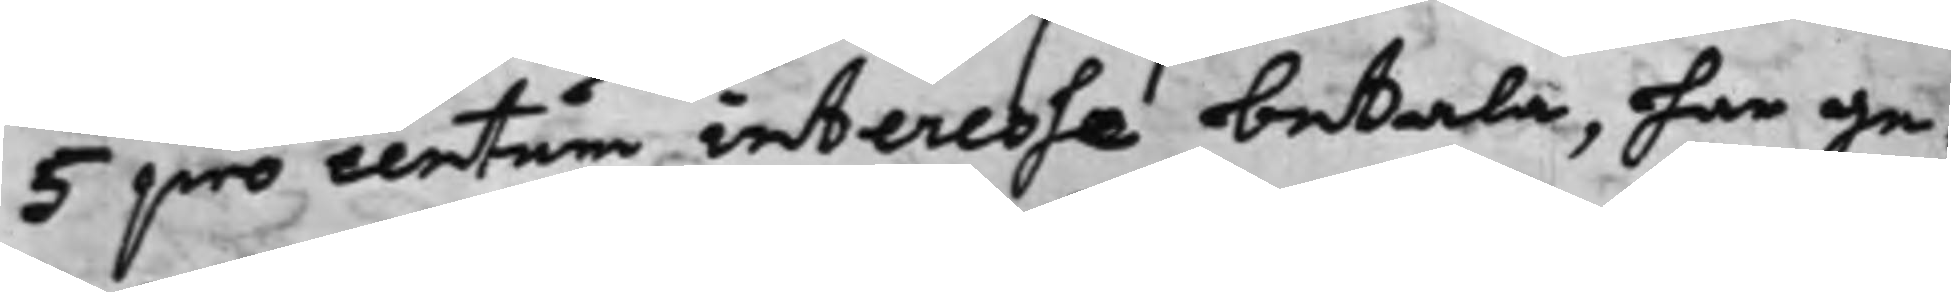5 pro centum interesse betala, har ge¬
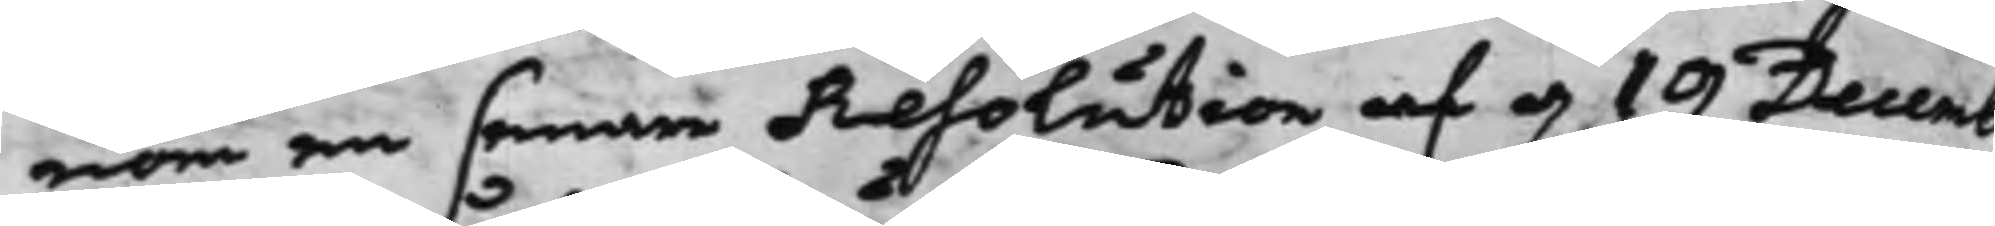nom en senare Resolution af d. 19 Decemb
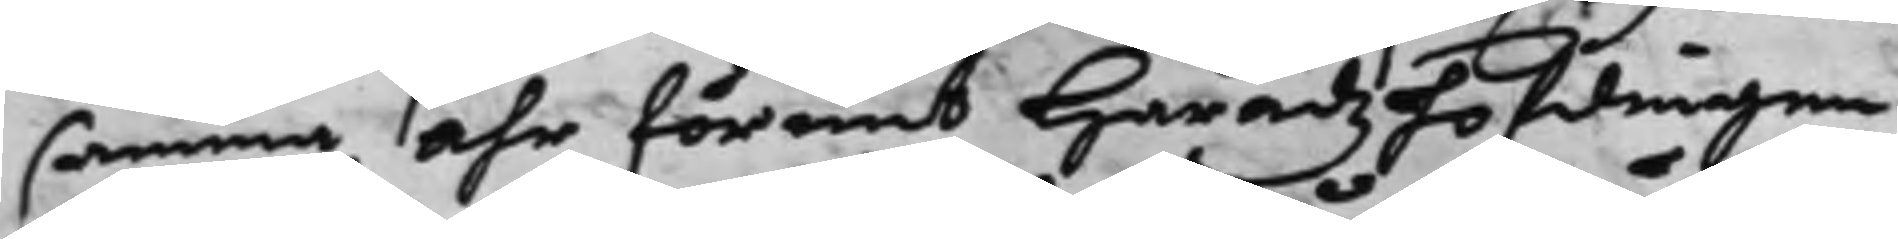samma Åhr förunt Häradzhöfdingen
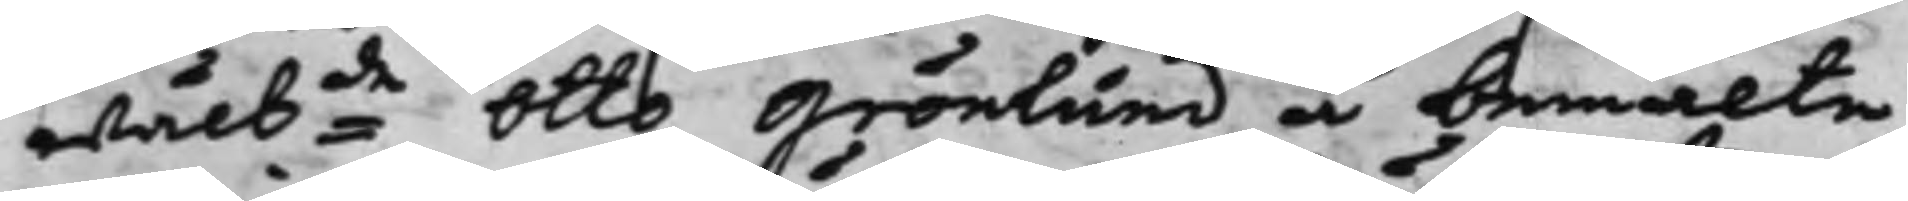wälbde Otto Grönlund å bemälte
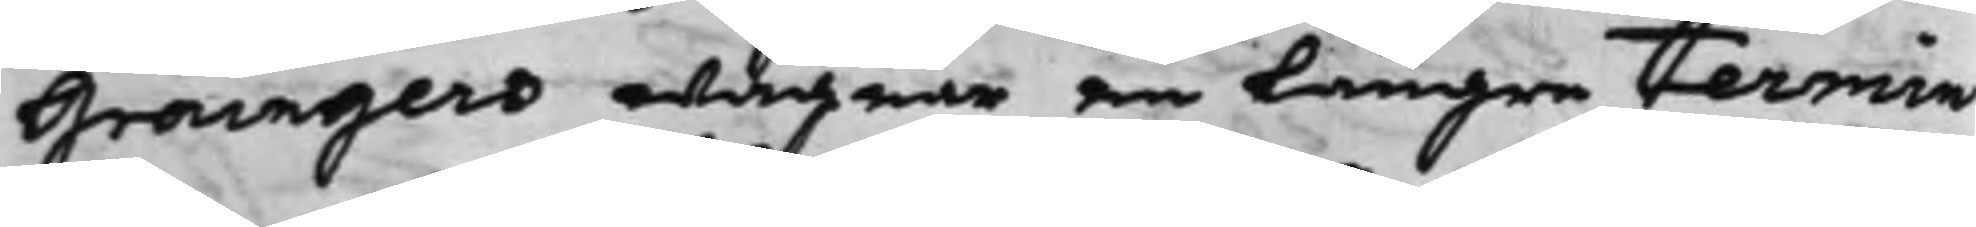Graingers wägnar en Längre termin
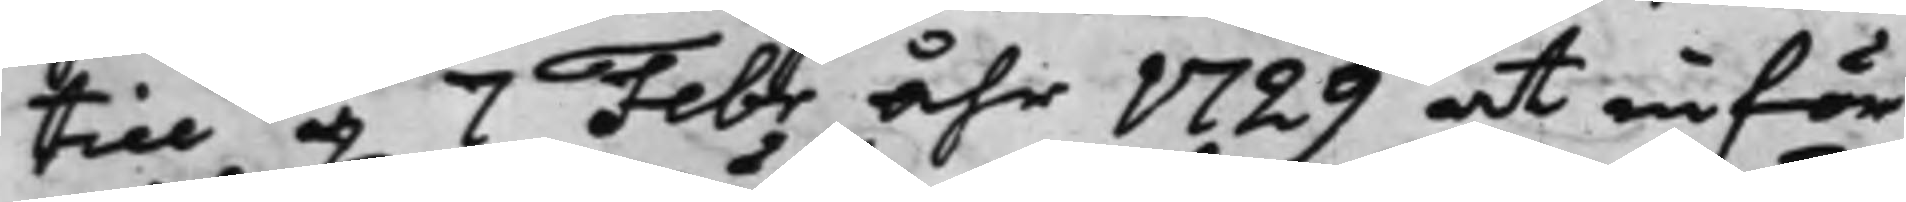till d. 7 Febr åhr 1729 at inför
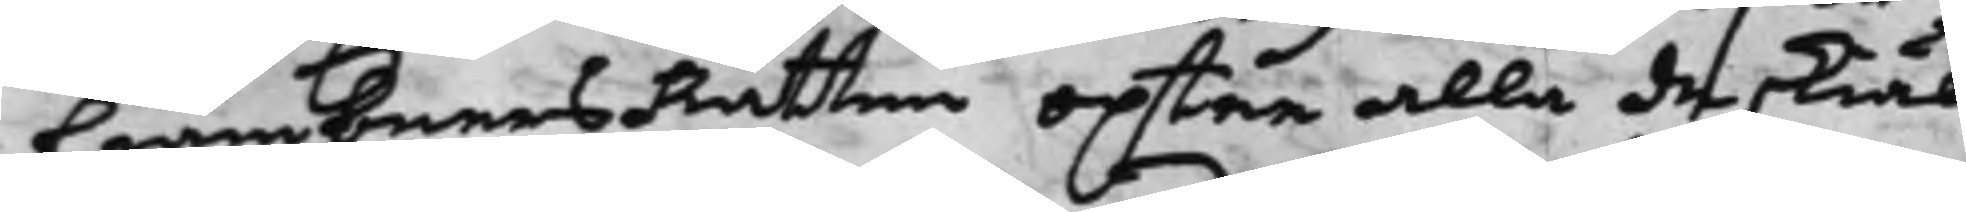CiämbnersRätten optar alla de skiäl
